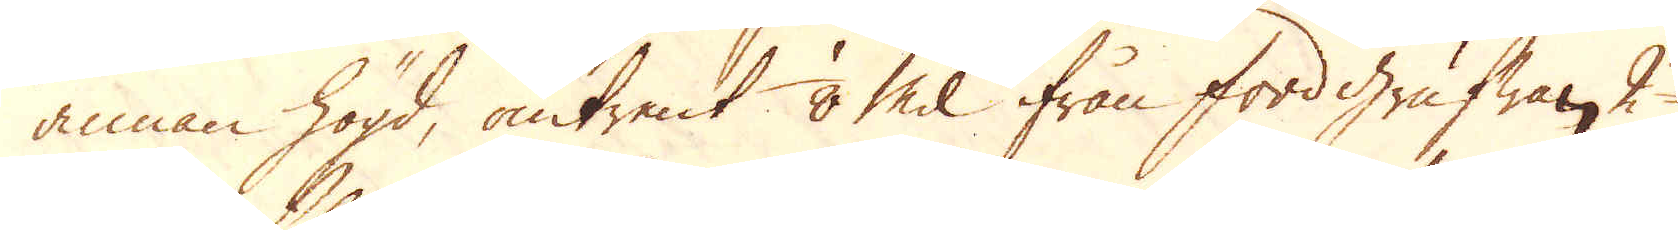annan högd, omtrent 1/8 Mil ifrån fordgrufwan, 2
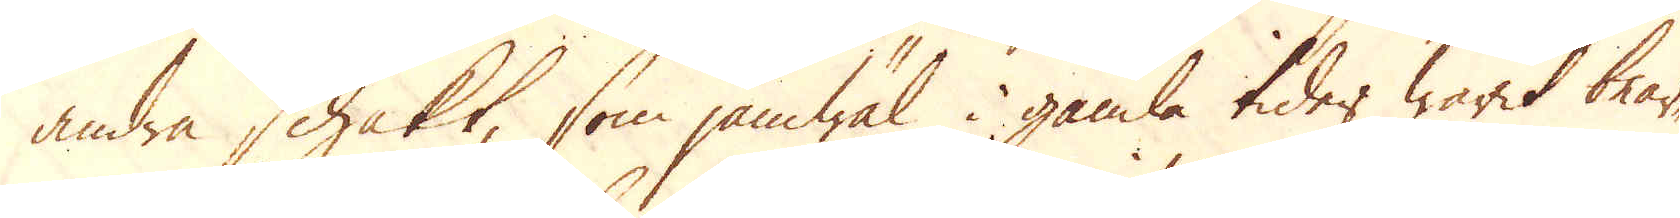andra schakt, som jämwäl i gamla tider warit bear-
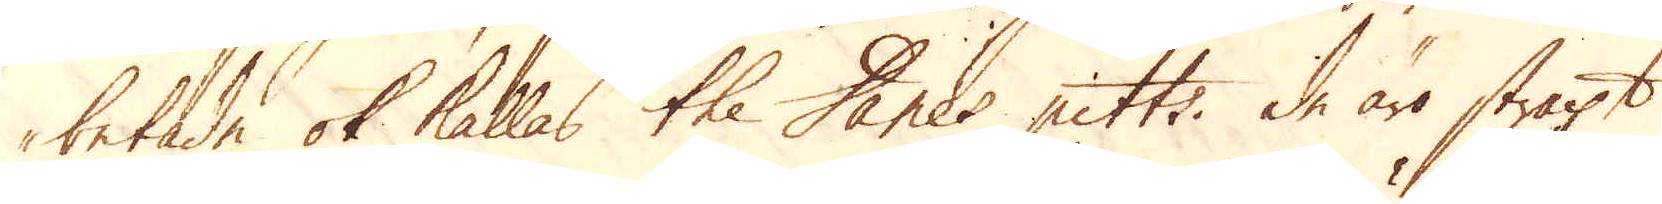betade ok kallas the Danes pitts, de äro straxt
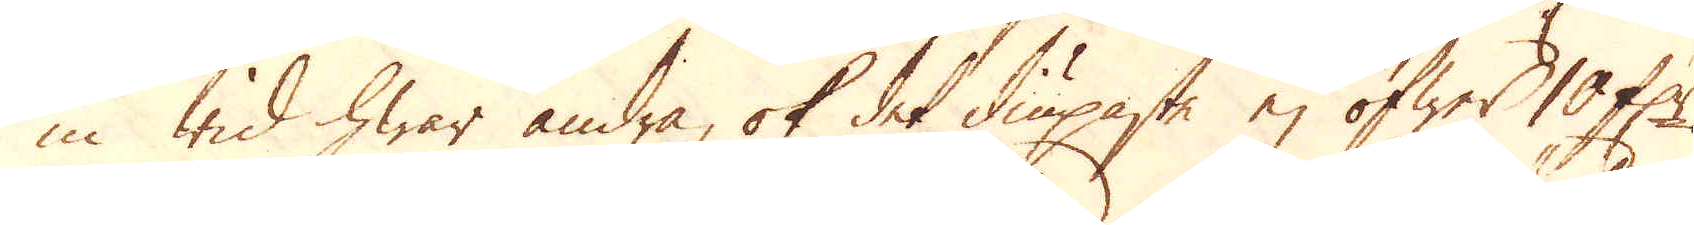in wid hwar andra, ok det diupaste ej öfwer 10 f:r.
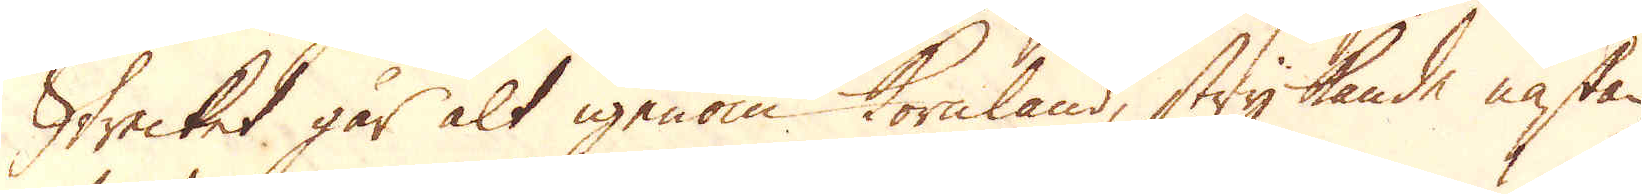Strecket går alt igenom kornland, strykande nästan
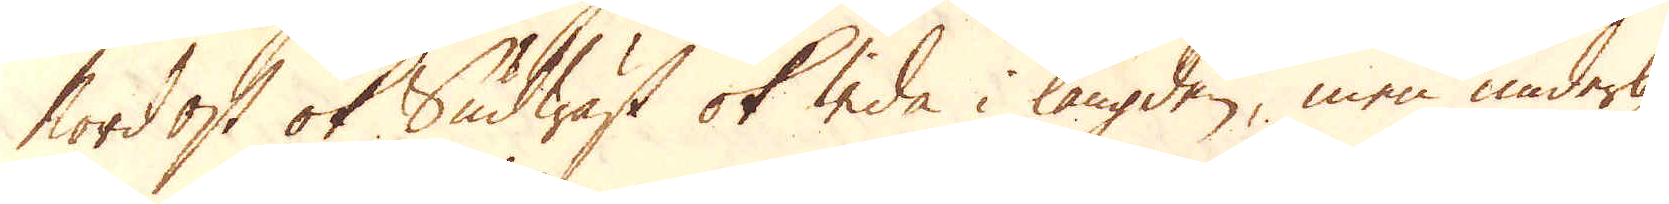Nordost ok Sudwäst ok wida i längden, men underlig-
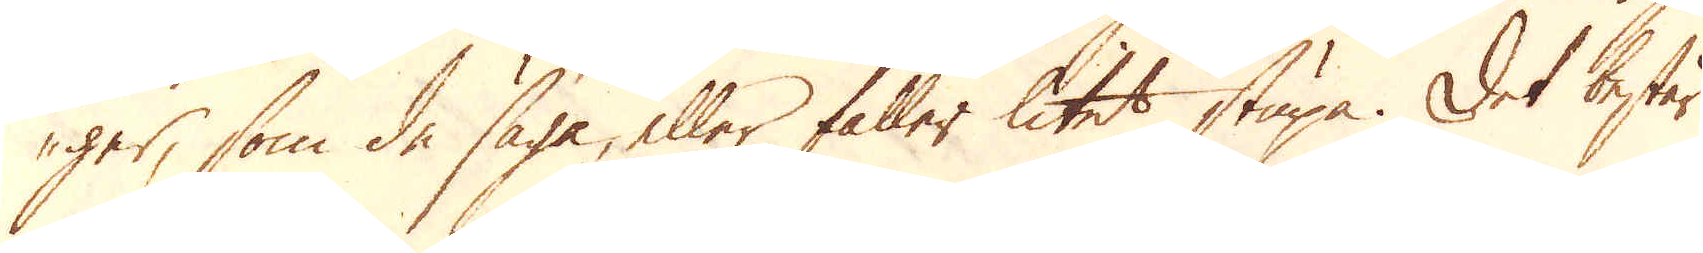ger, som de säga, eller faller litet stupa. Det består
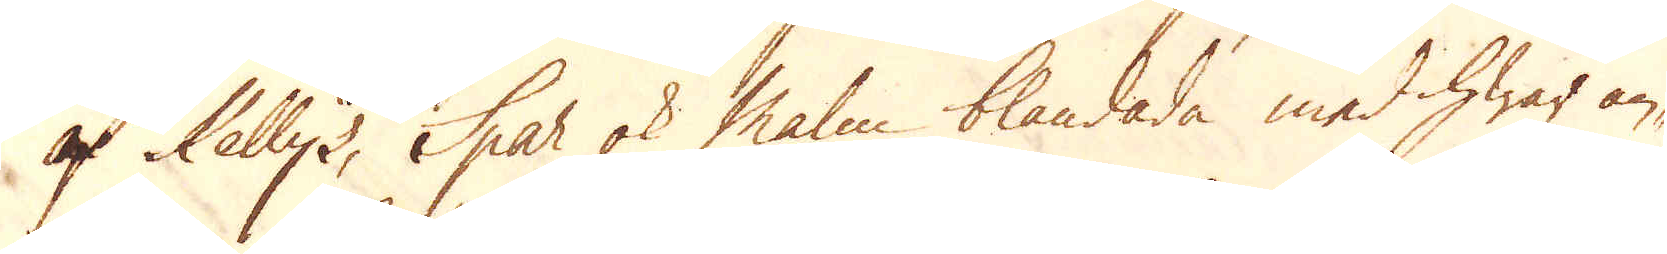af Kellys, Spar ok Malm blandade med hwar an-
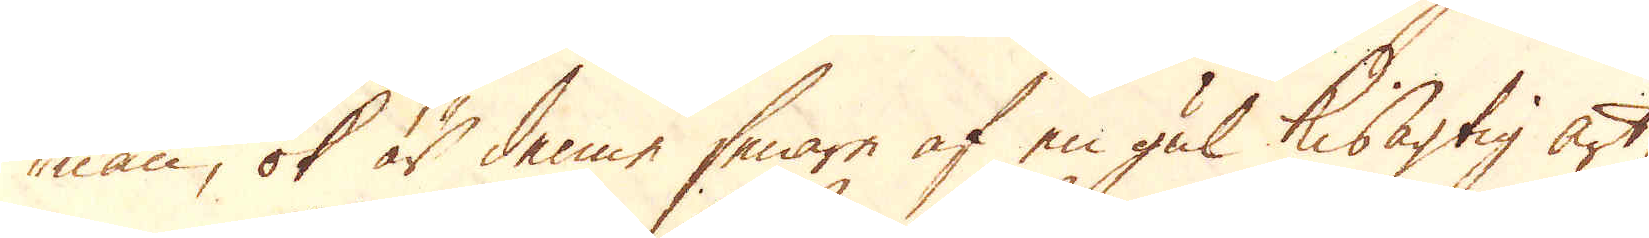nan, ok är denne senare af en gul kisagtig art
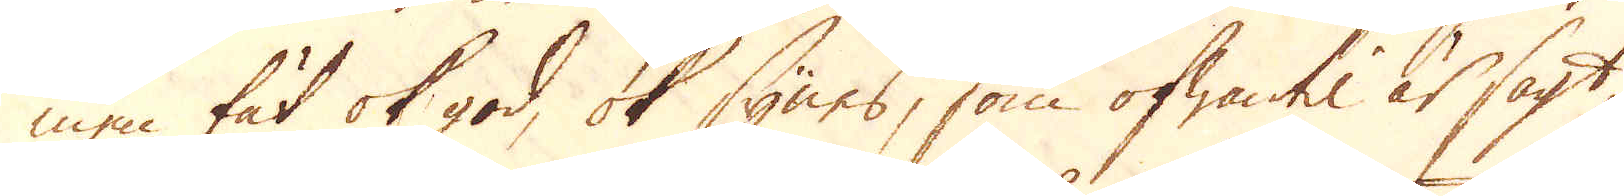men tät ok god, ok synes, som ofwantil är sagt
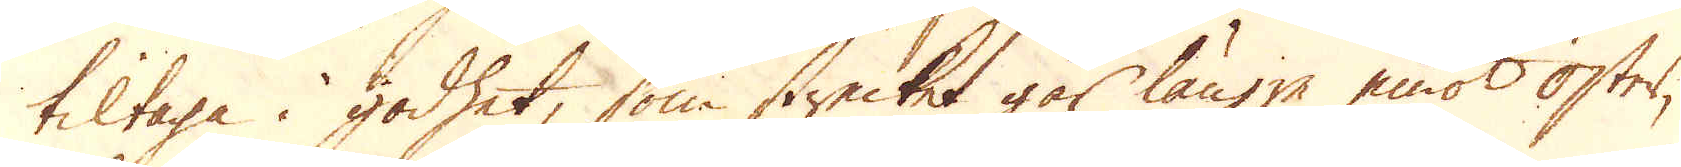tiltaga i godhet, som strecket går längre emot Öster,
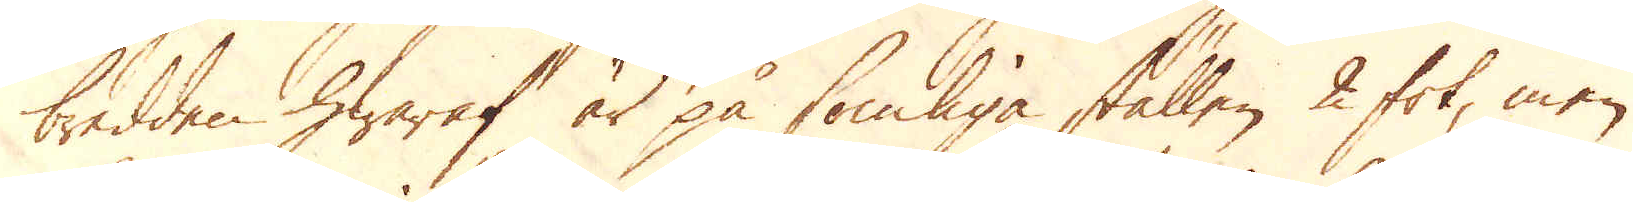bredden hwaraf är på somliga ställen 2 fot, men
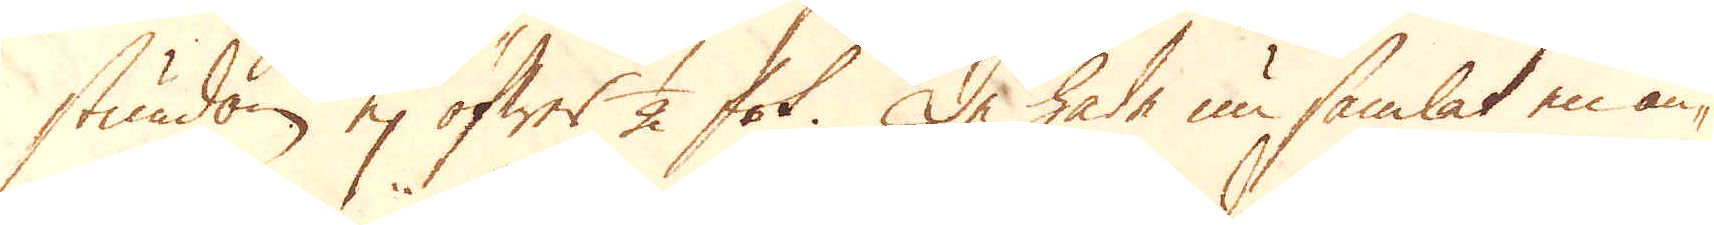stundom ej öfwer 1/2 fot. De hade nu samlat en an-
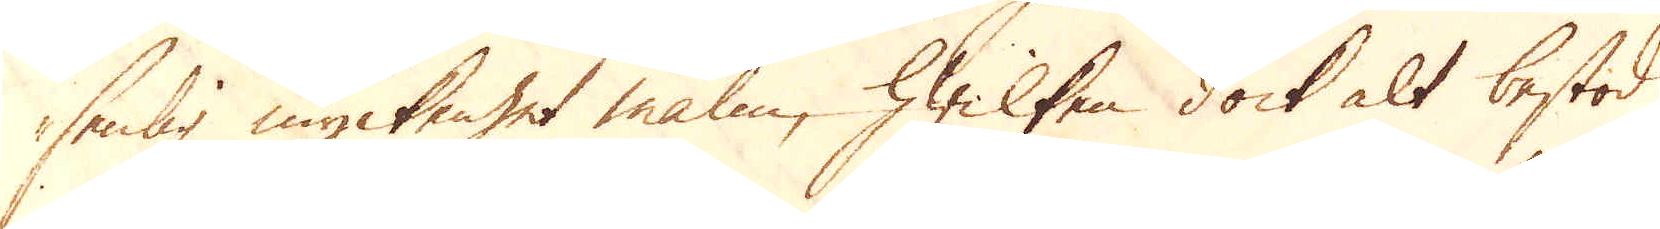senlig myckenhet malm, hwilken dock alt bestod
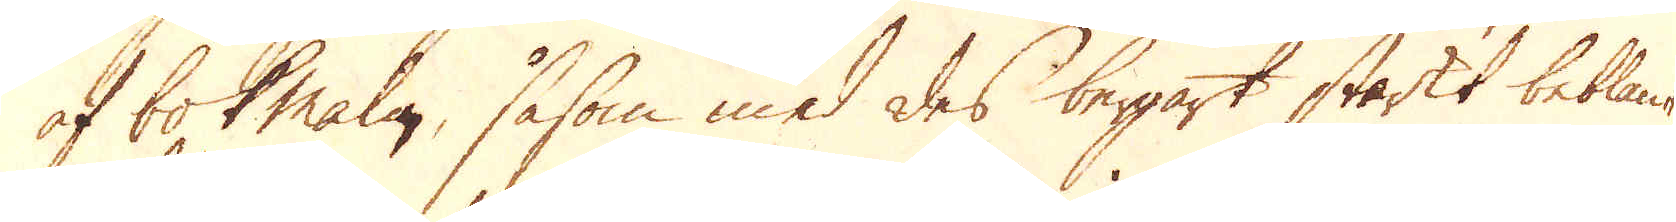af bok malm, såsom med des bergart starkt beblan-
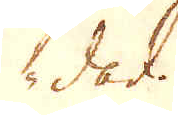dad.
